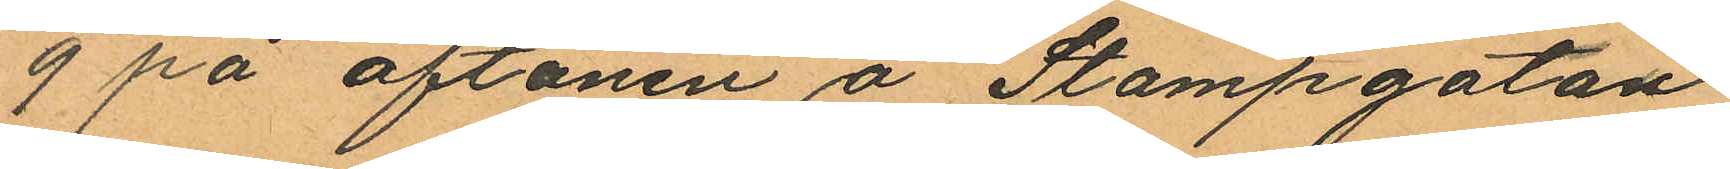9 på aftonen å Stampgatan
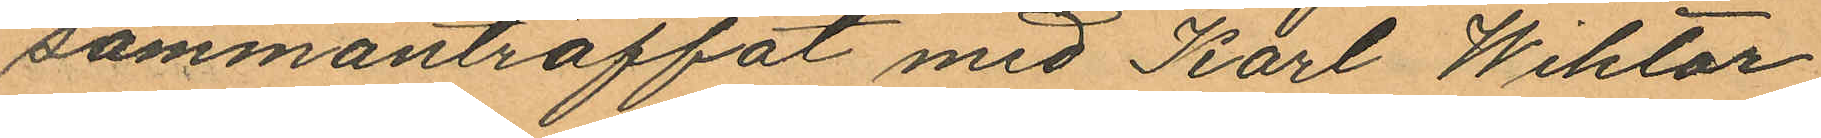sammanträffat med Karl Wiktor
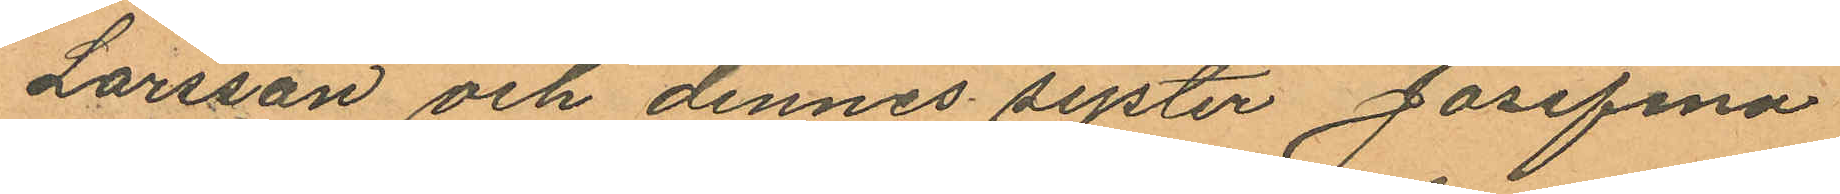Larsson och dennes syster Josefina
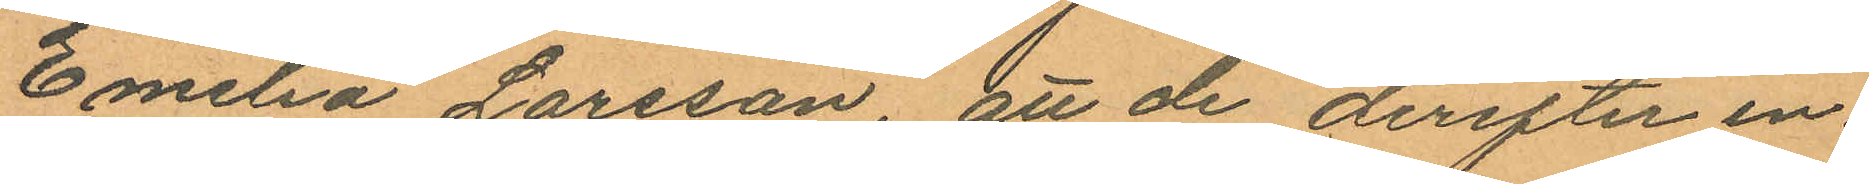Emilia Larsson, att de derefter in¬
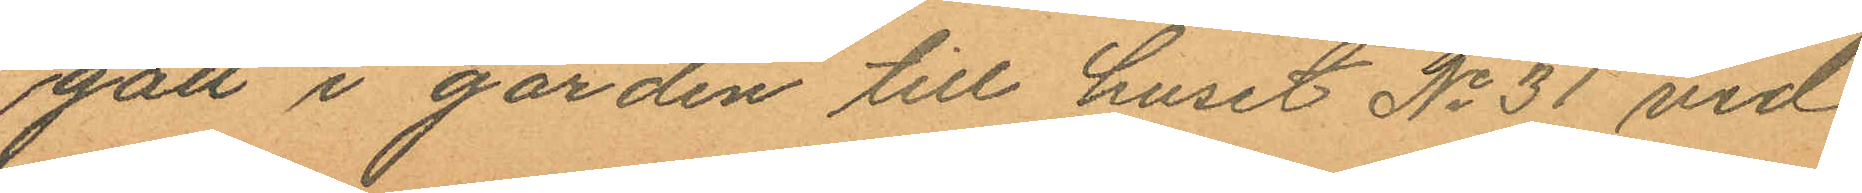gått i gården till huset No 31 vid
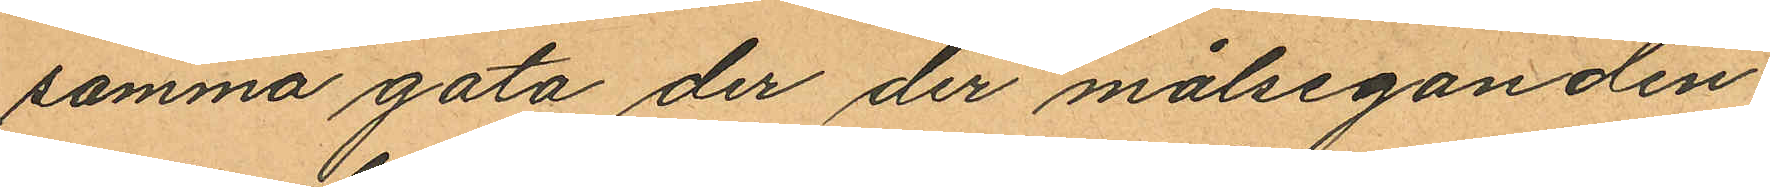samma gata der der målseganden
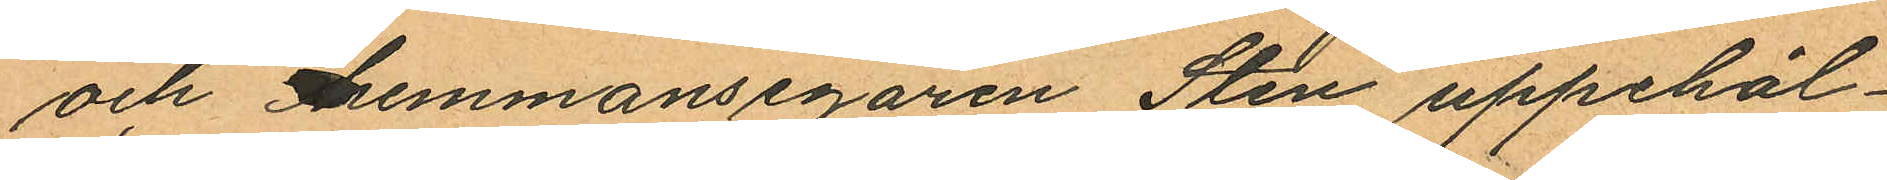och hemmansegaren Sten uppehål¬
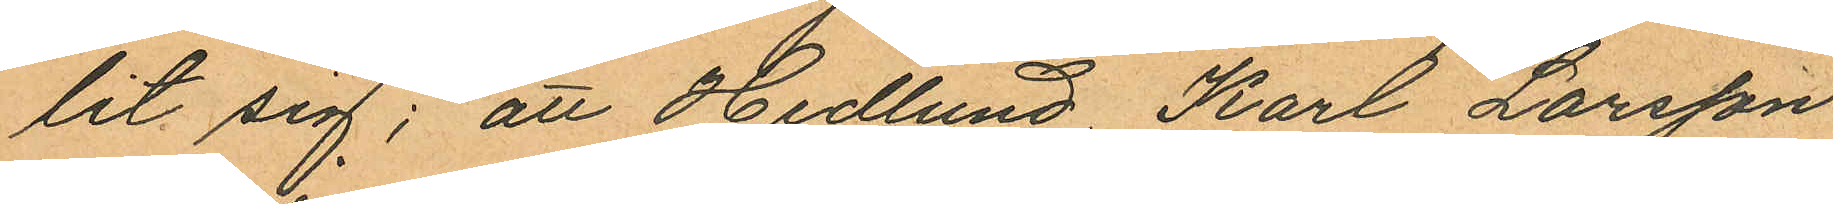lit sig; att Hedlund Karl Larsson
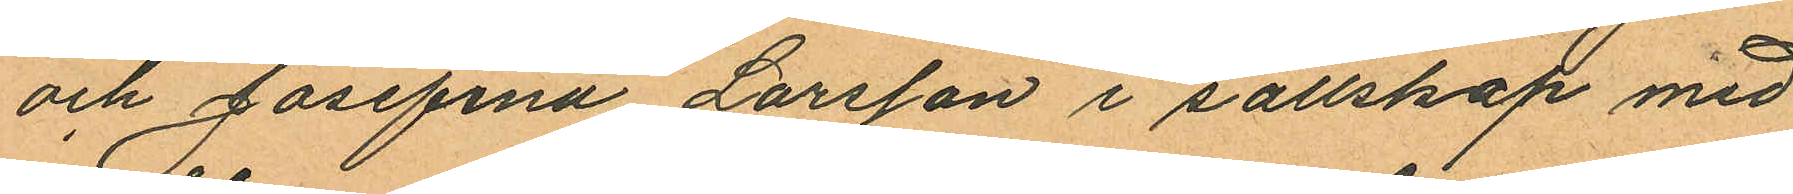och Josefina Larsson i sällskap med
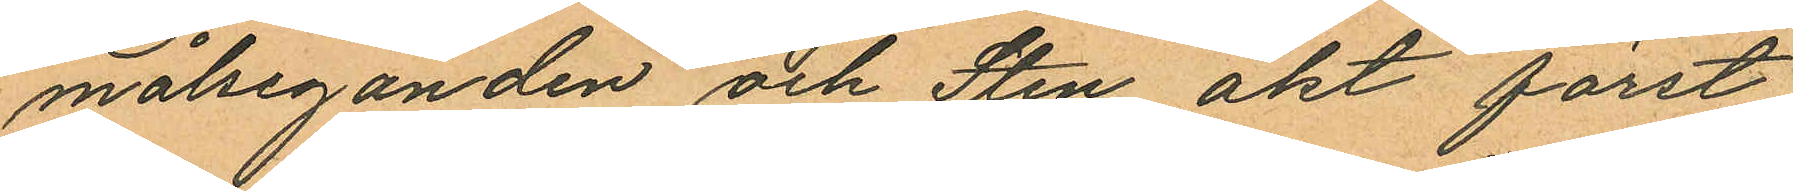målseganden och Sten åkt först
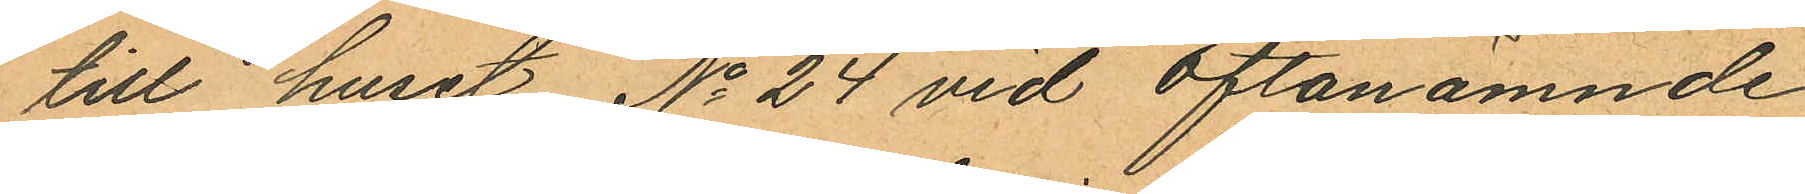till huset No 24 vid oftanämnde
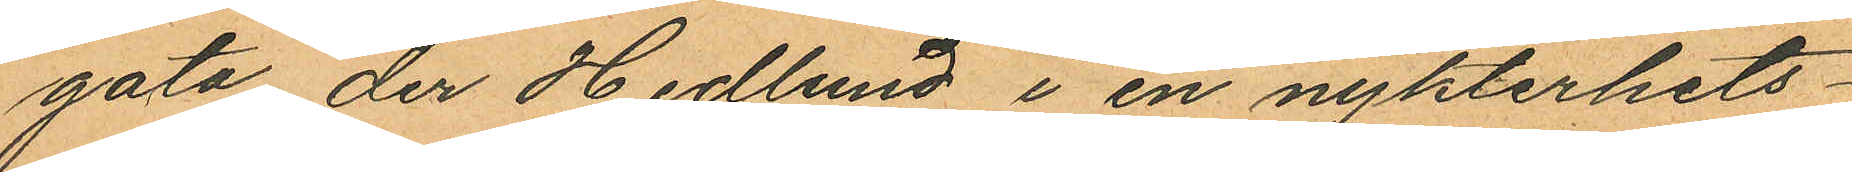gata der Hedlund i en nykterhets¬
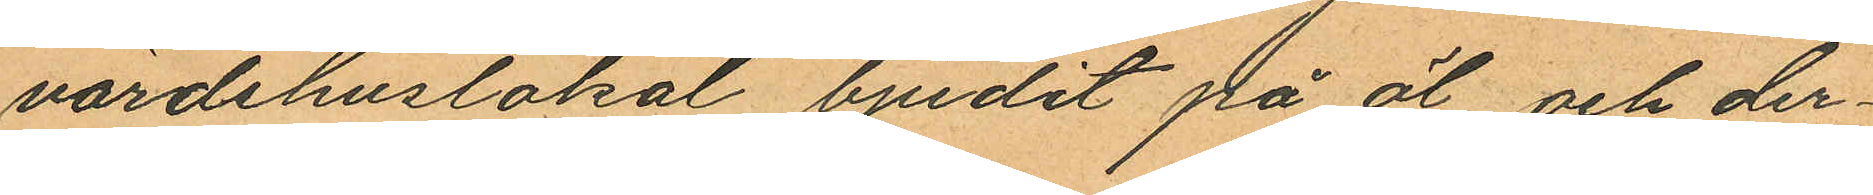värdshuslokal bjudit på öl och der¬
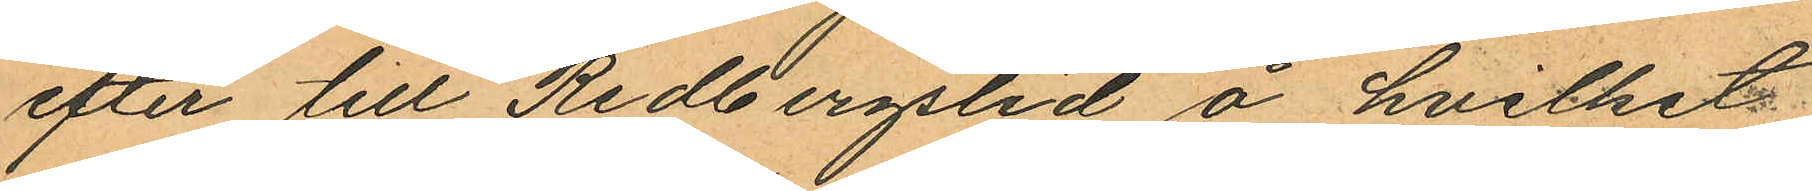efter till Redbergslid å hvilket
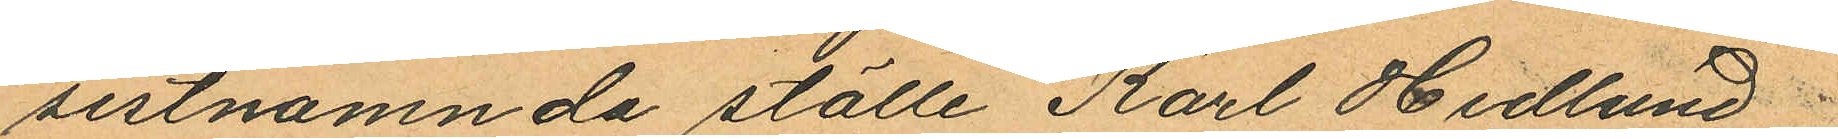sistnamnda ställe Karl Hedlund
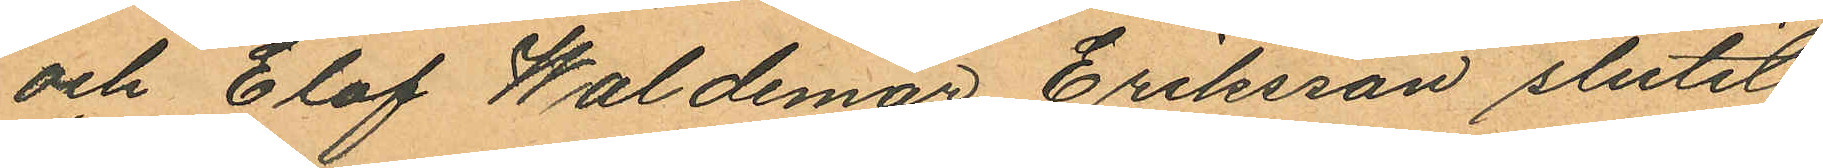och Elof Waldemar Eriksson slutit
